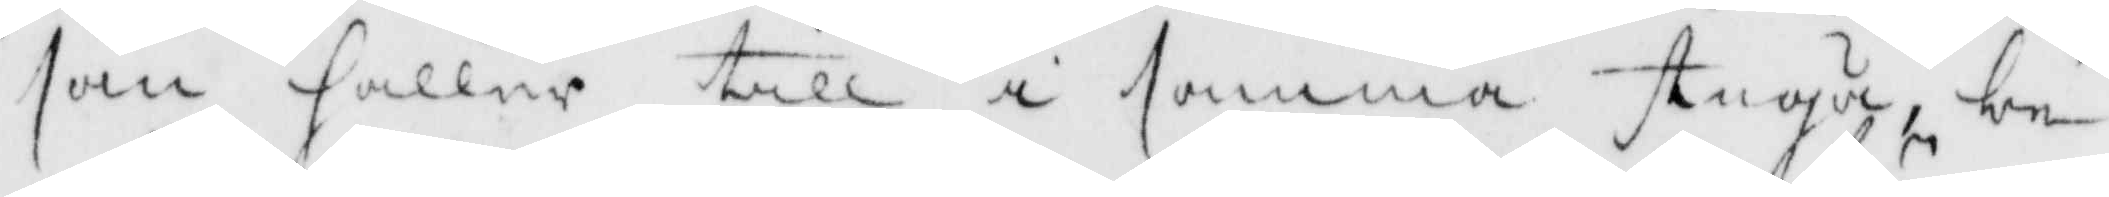som håller till i samma stuga, be¬
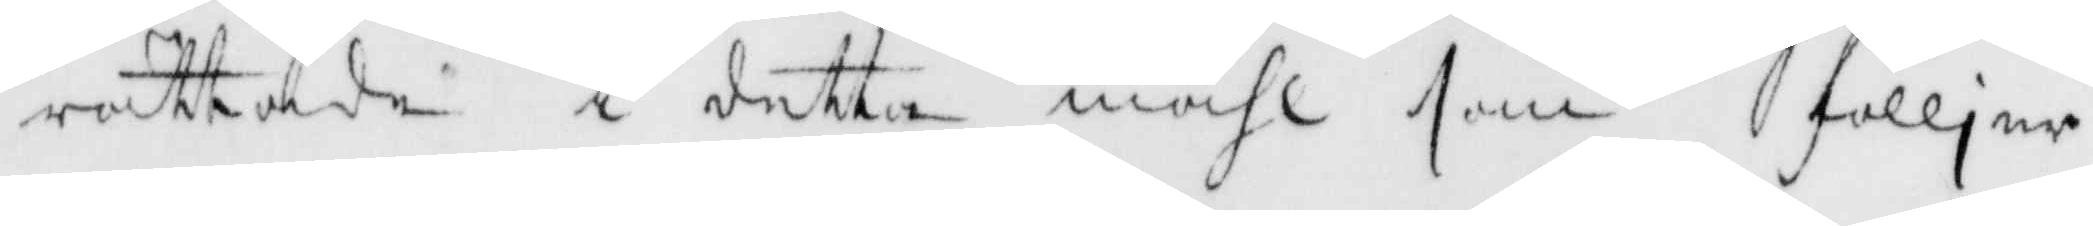rättade i detta måhl som fölljer
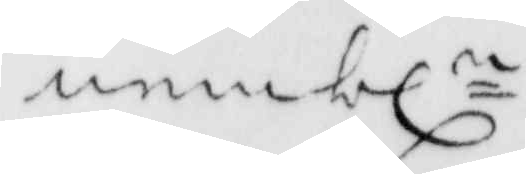nembln
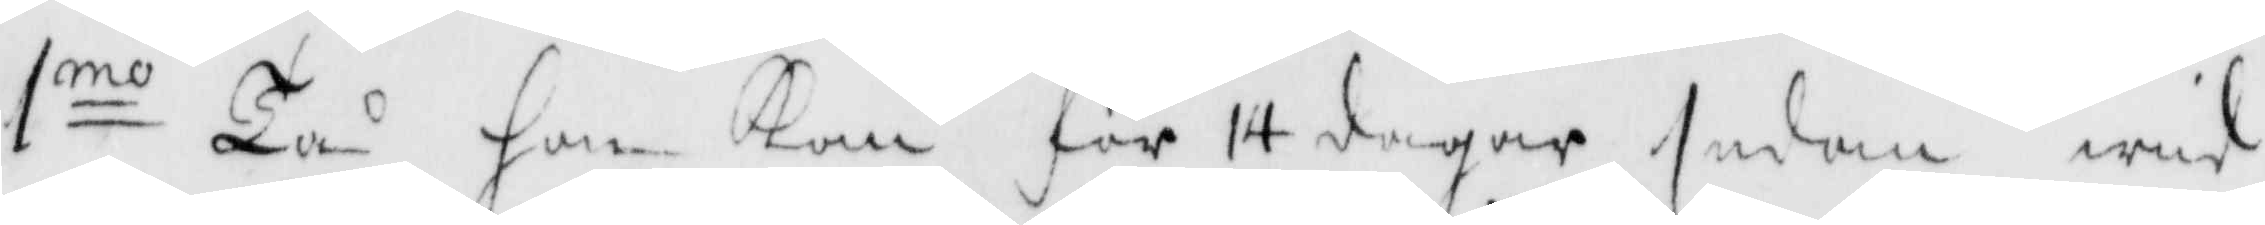1mo Tå han kom för 14 dagar sedan wid
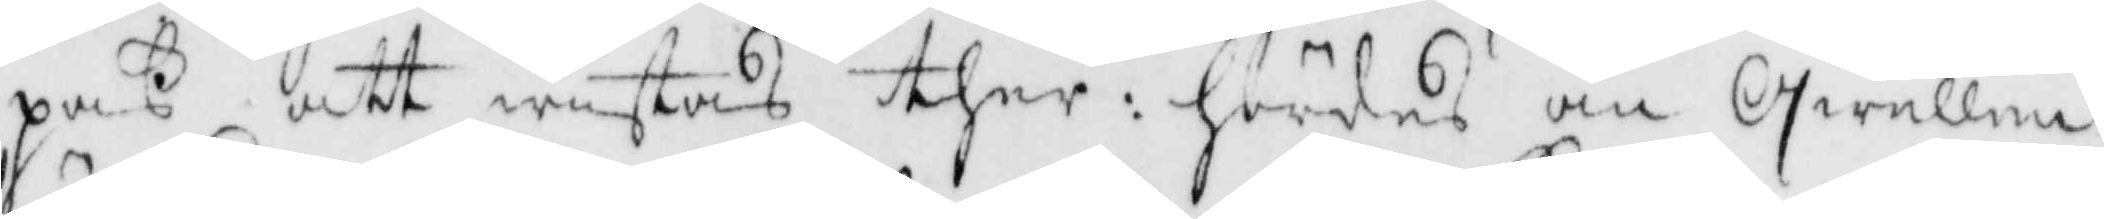paß att wistas ther: hördes om Qwellen
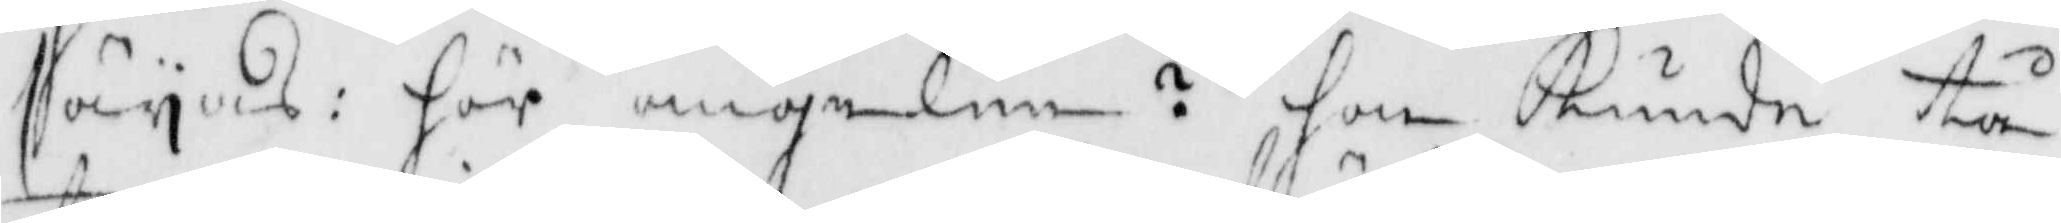säyas: hör ängelen? hon kunde tå
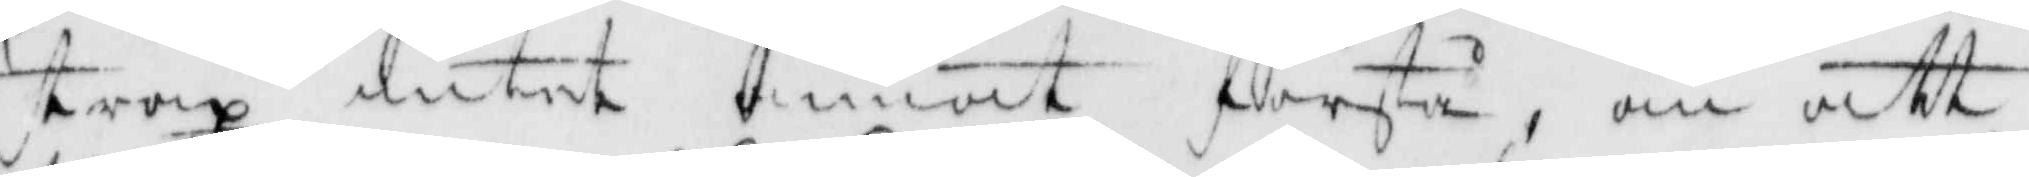strax intet annat förstå, än att
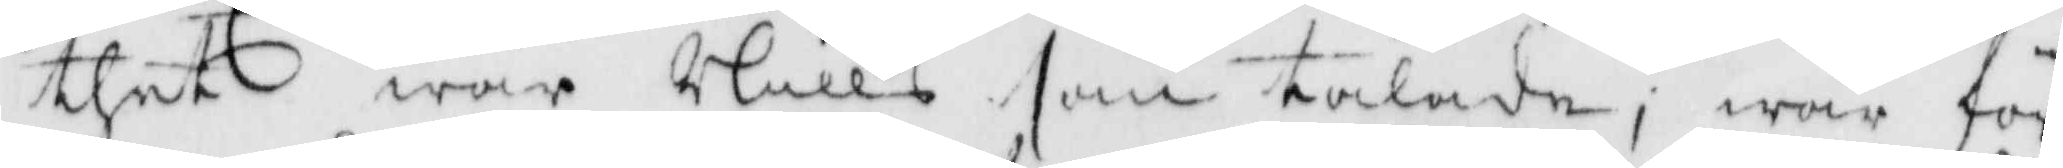thet war Nills som talade; war för
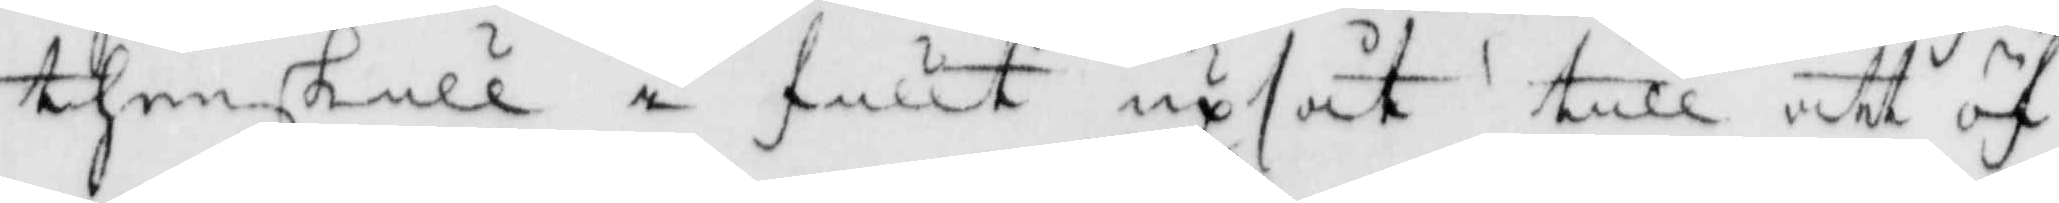thenskull i fullt upsåt till att öf¬
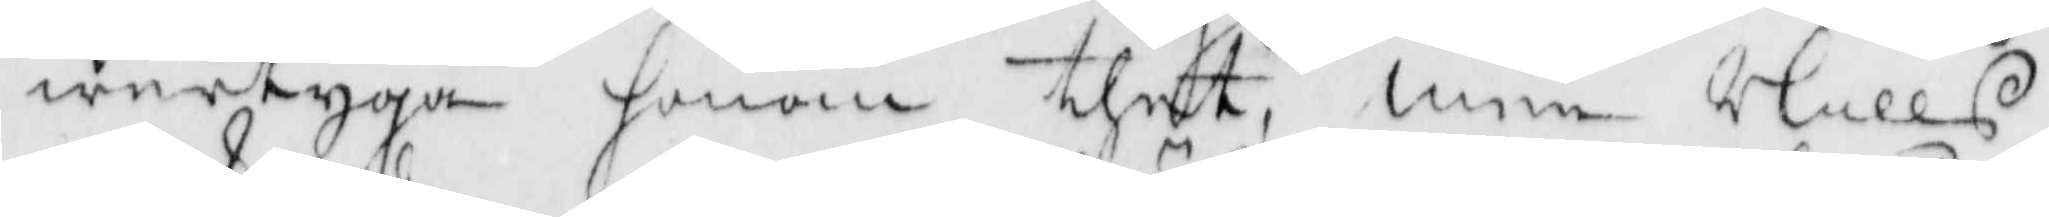wertyga honom thet, men Nills
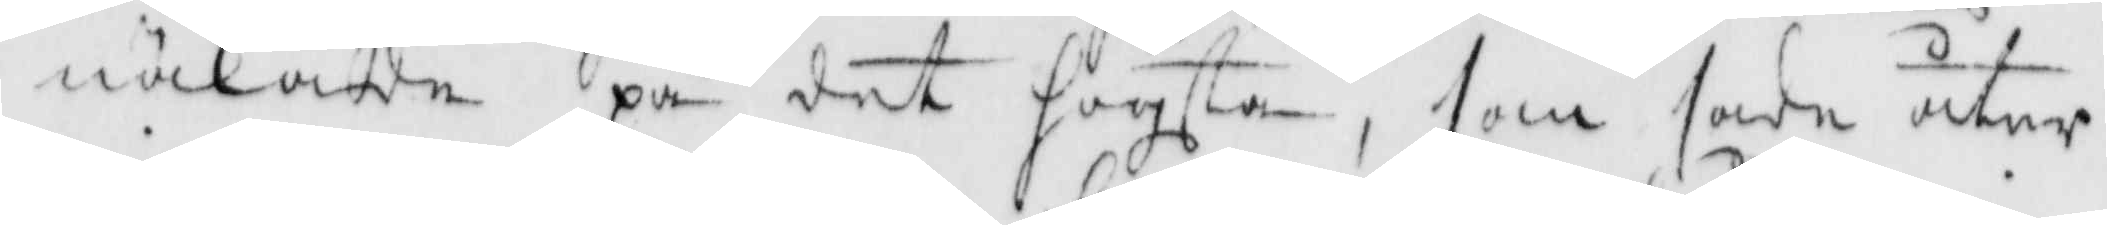näkade på det högsta, som sade åter
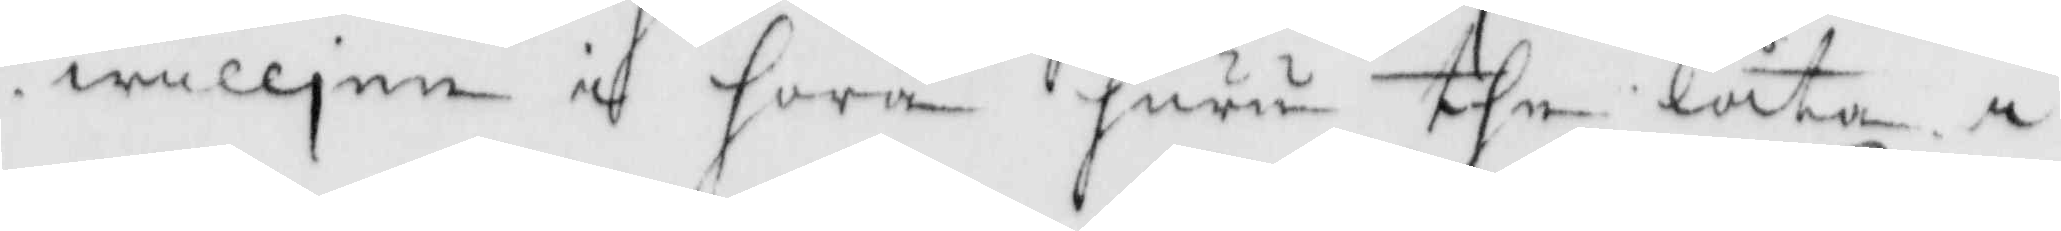willjen i höra huru the låta i
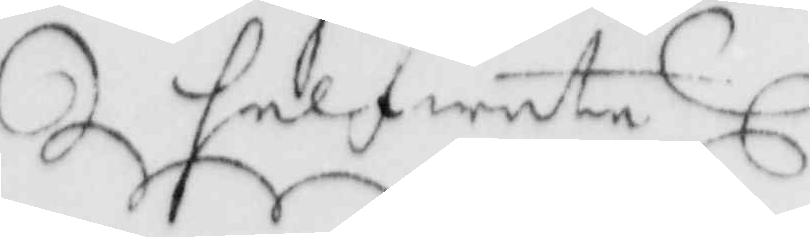helfwete
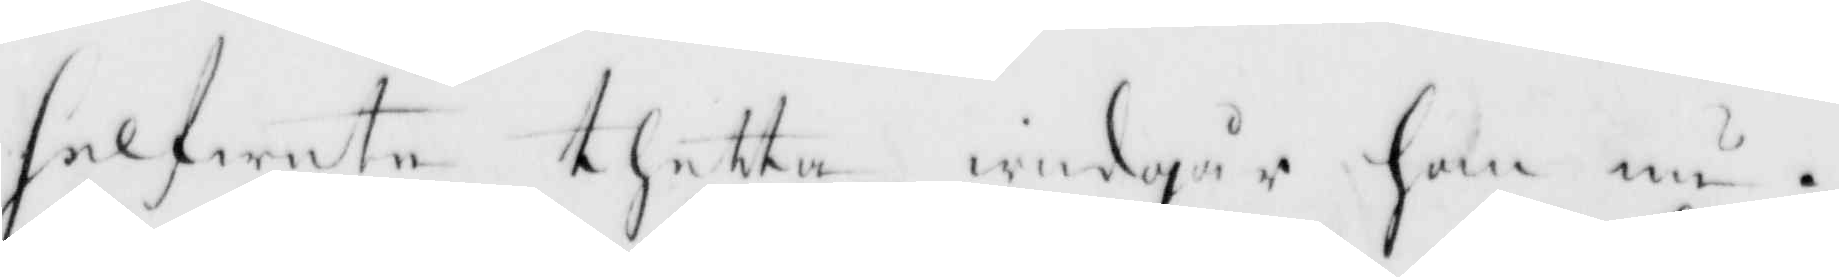helfwete thetta widgår han nu.
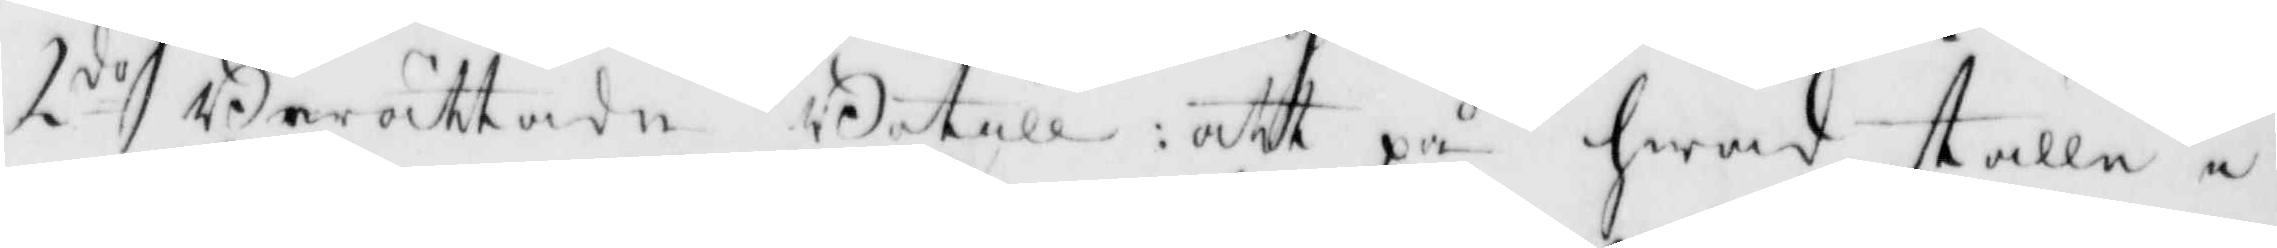2do berättade Botill: att på hwad ställe i
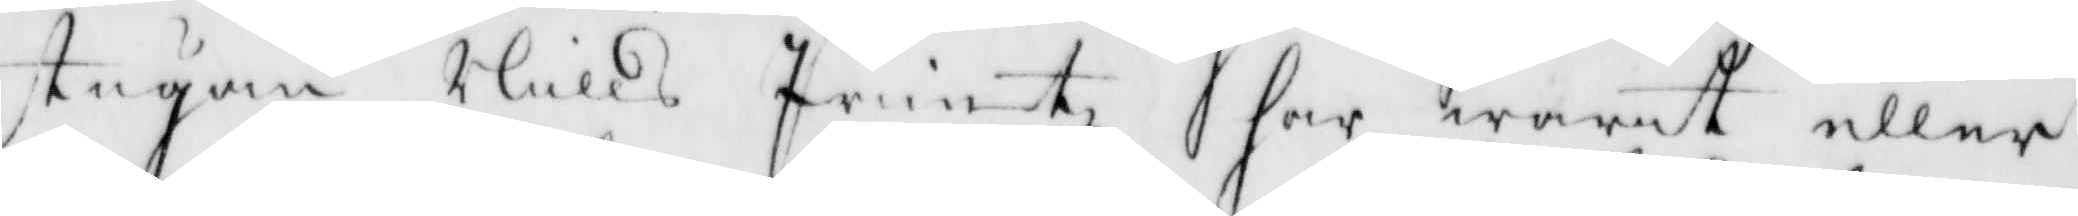stugan Nills Printz har warit eller
